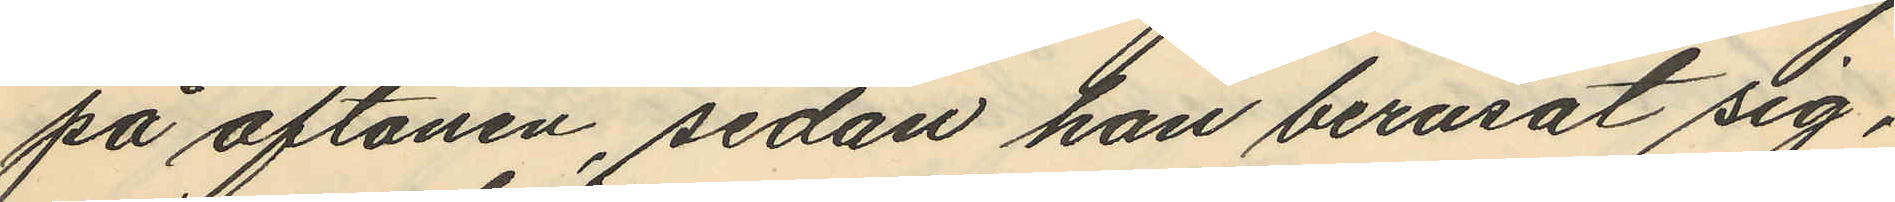på aftonen, sedan han berusat sig,
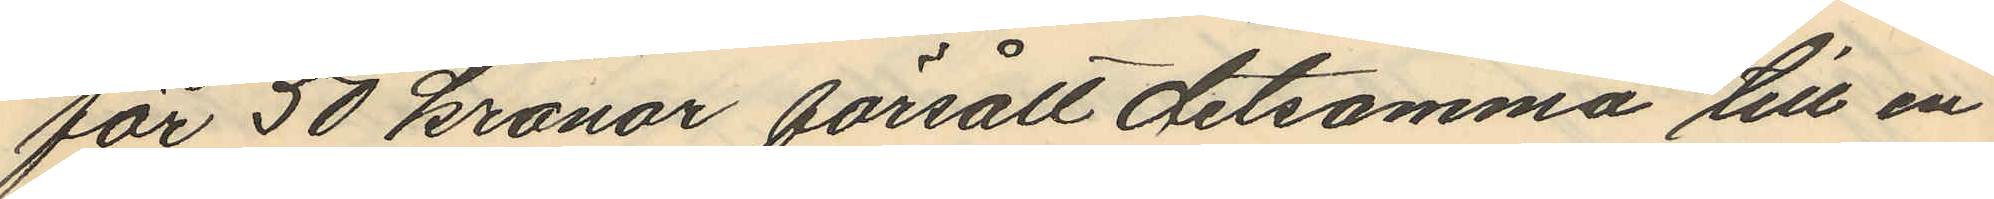för 50 kronor försålt detsamma till en
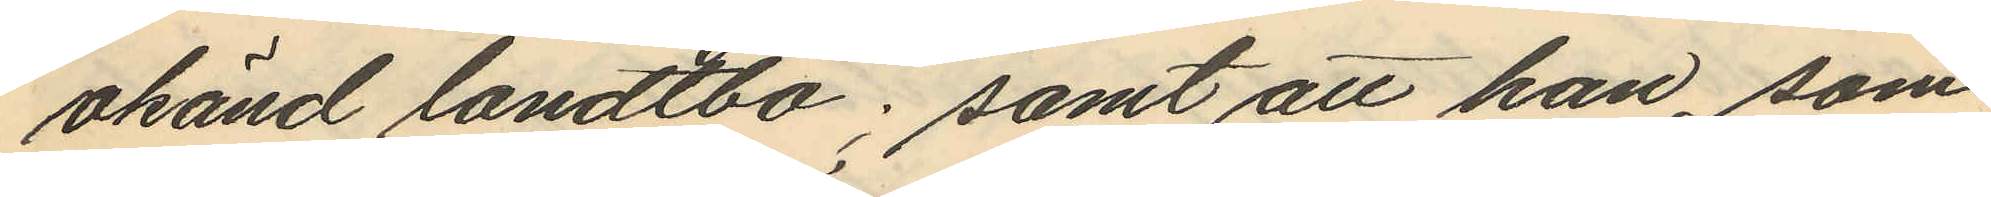okänd landtbo; samt att han, som
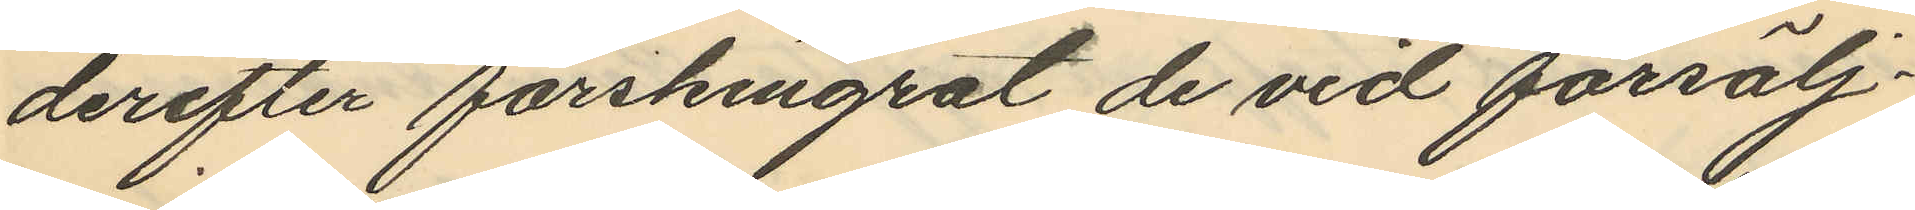derefter förskingrat de vid försälj¬
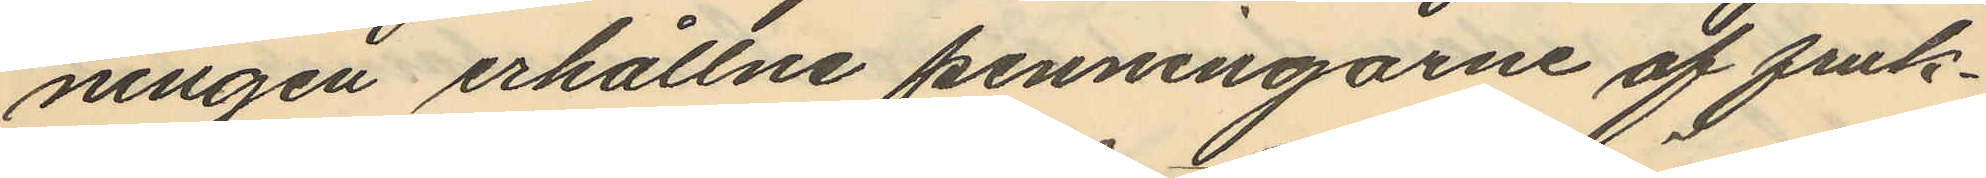ningen erhållne penningarne af fruk¬
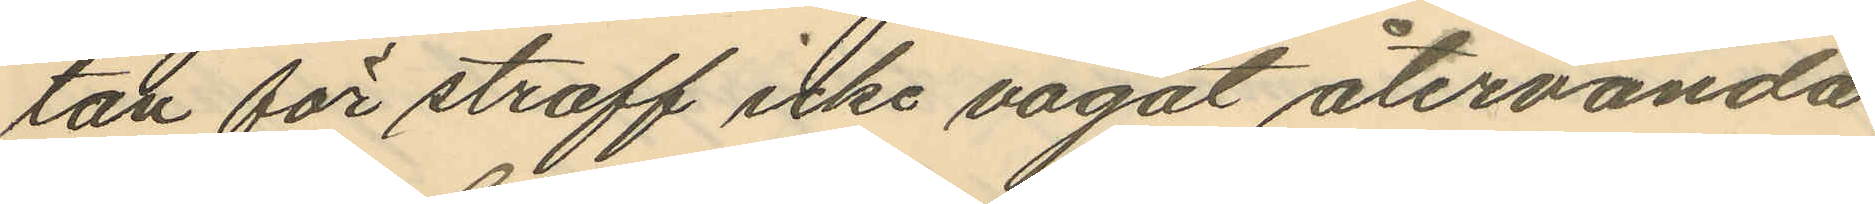tan för straff icke vågat återvända
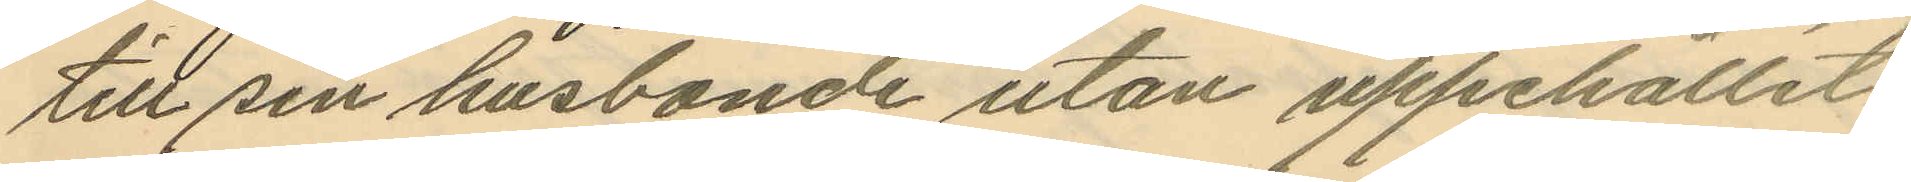till sin husbonde utan uppehållit
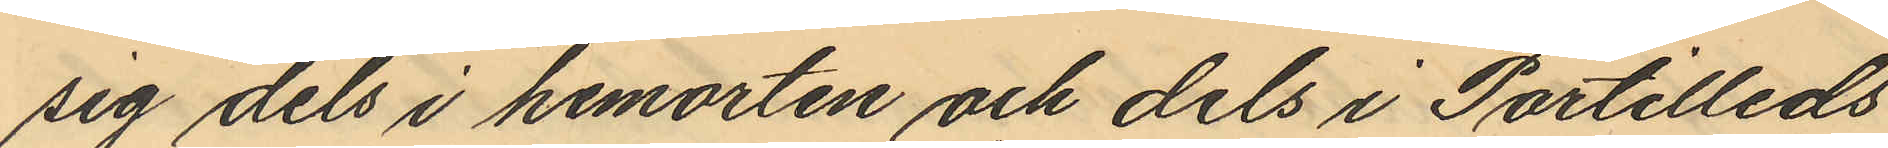sig dels i hemorten och dels i Partilleds
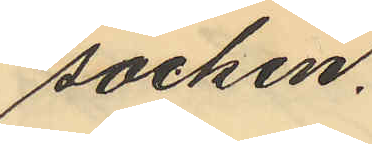socken.
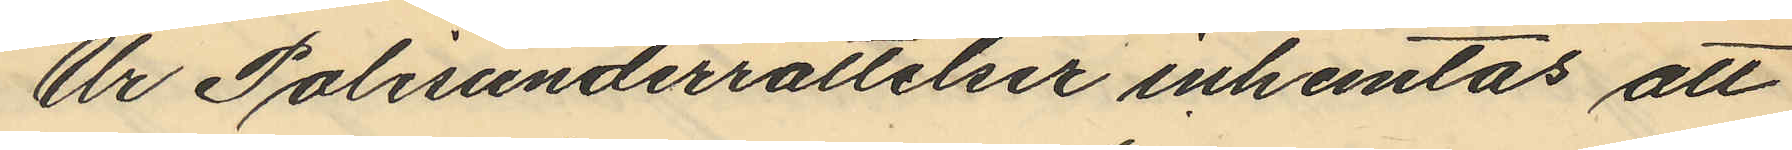Ur Polisunderrättelser inhemtas att
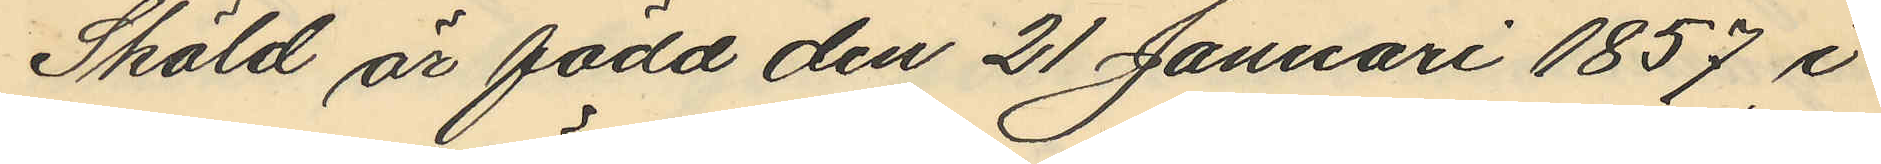Sköld är född den 21 Januari 1857 i
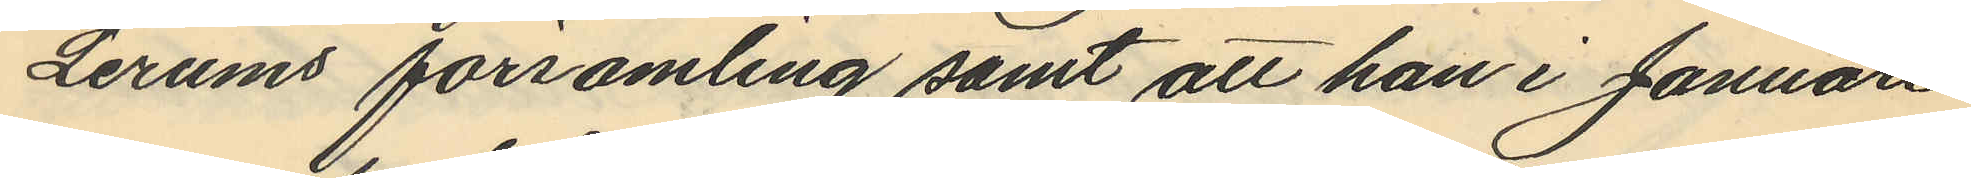Lerums församling samt att han i Januari
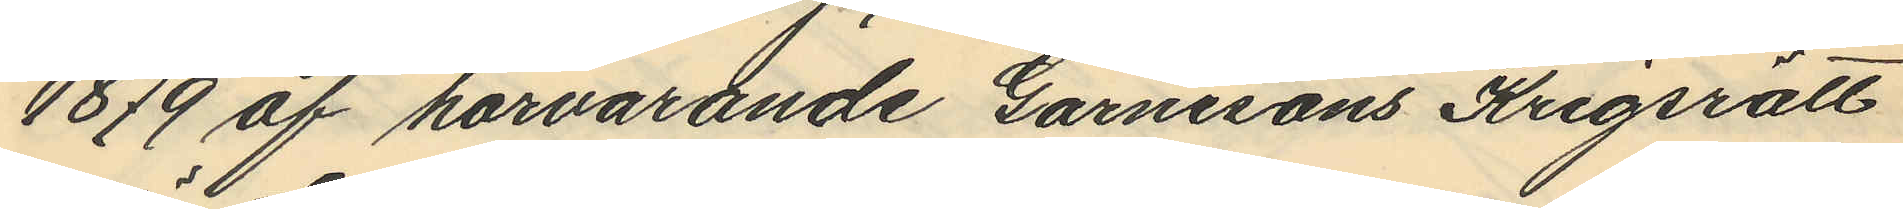1879 af härvarande Garnisons Krigsrätt
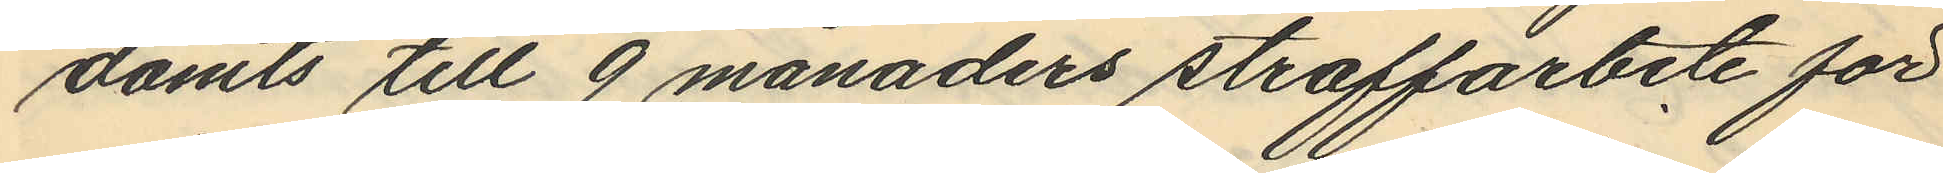dömts till 9 månaders straffarbete för
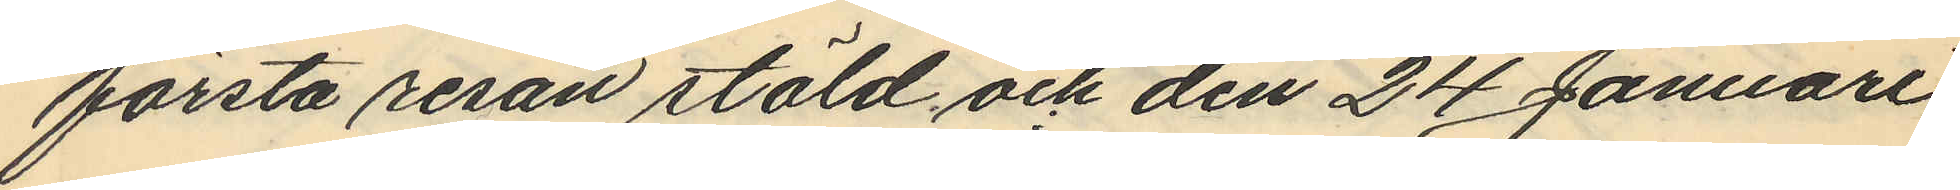första resan stöld och den 24 Januari
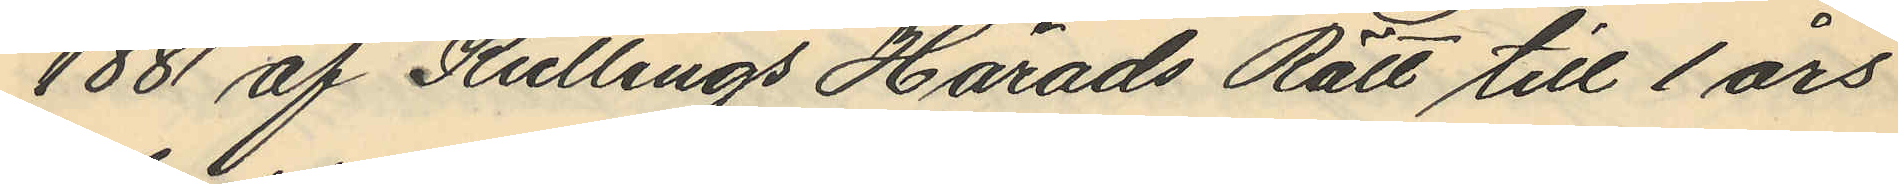1881 af Kullings Härads Rätt till 1 års
